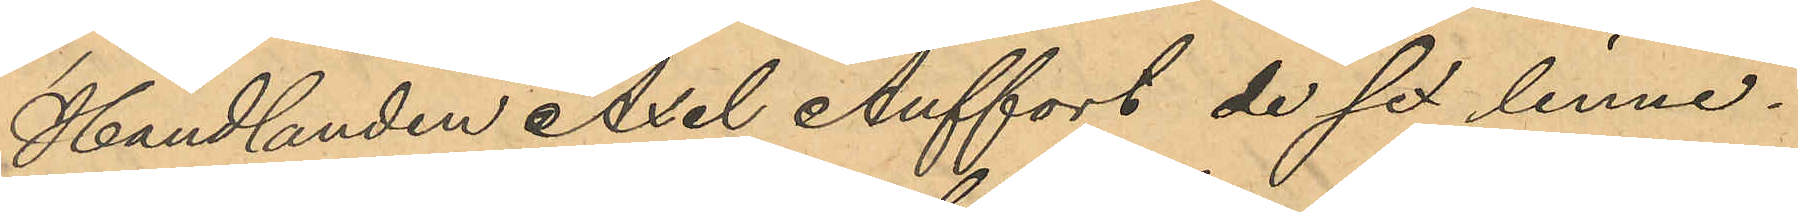Handlanden Axel Auffort de sex linne¬
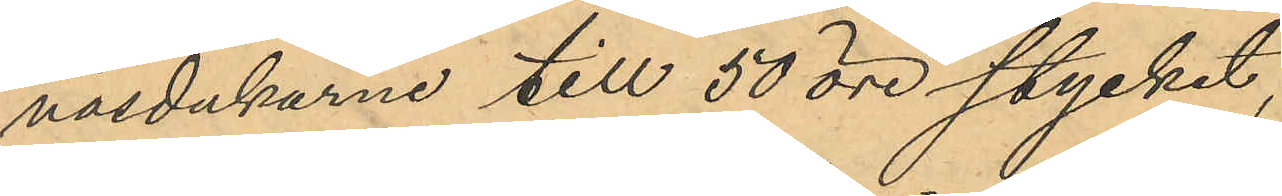näsdukarne till 50 öre stycket,
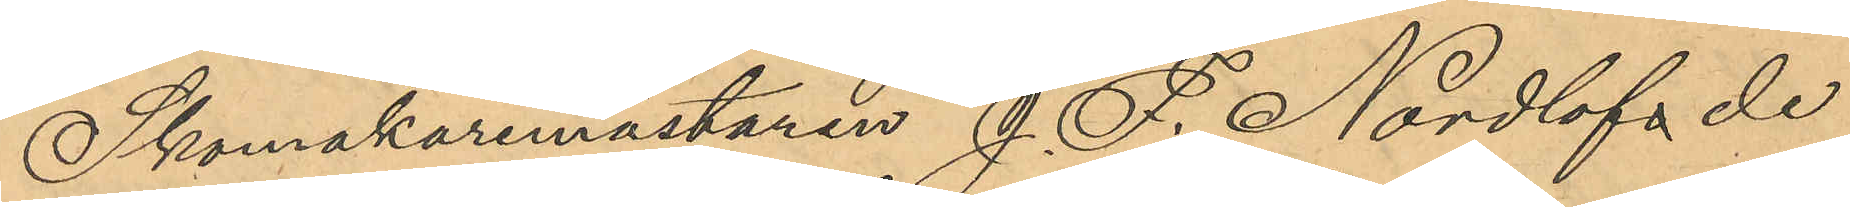Skomakaremästaren J. F. Nordlöf de
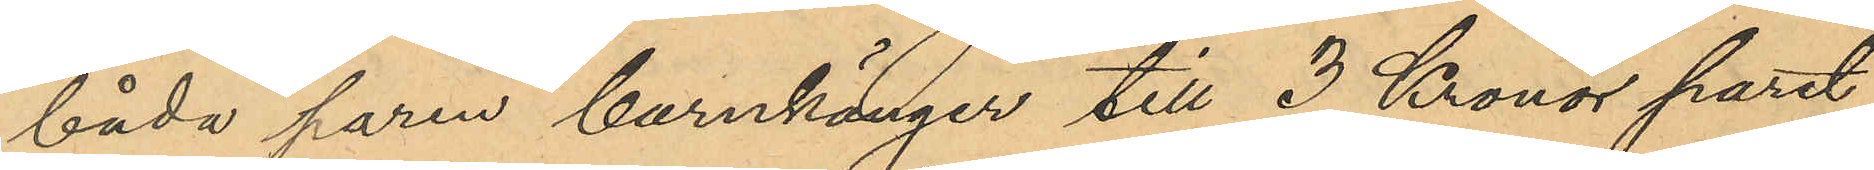båda paren barnkänger till 3 Kronor paret,
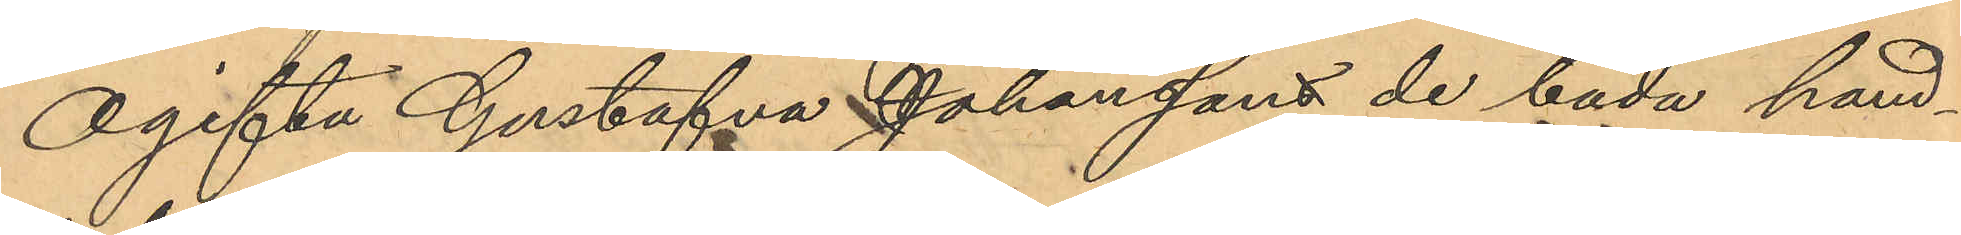Ogifta Gustafva Johansson de båda hand¬
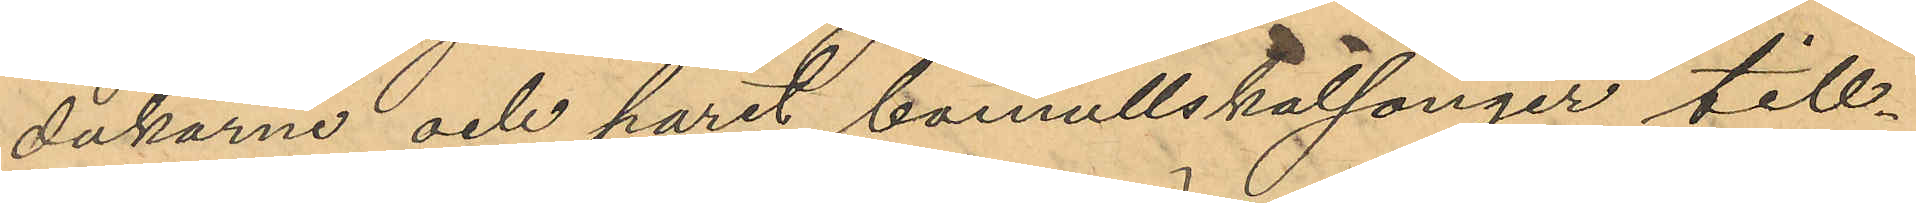dukarne och paret bomullskalsonger till¬
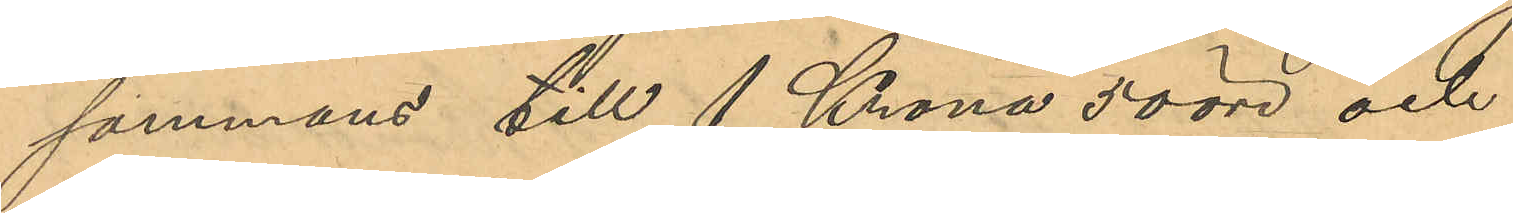sammans till 1 Krona 50 öre och
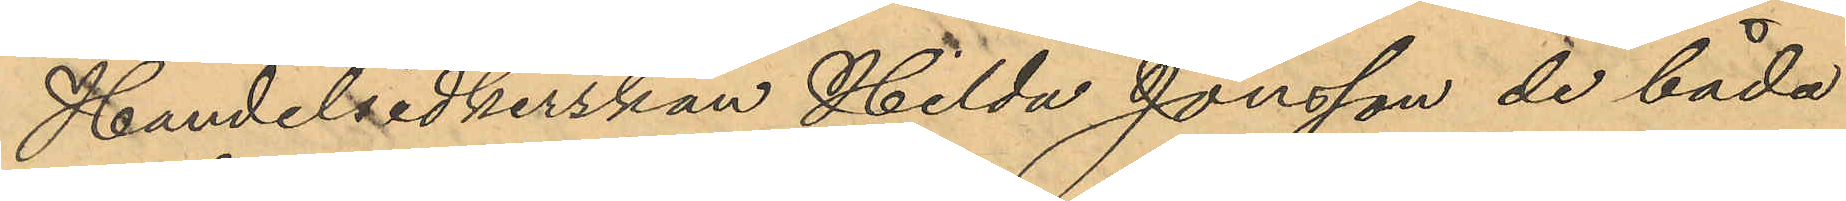Handelsidkerskan Hilda Jonsson de båda
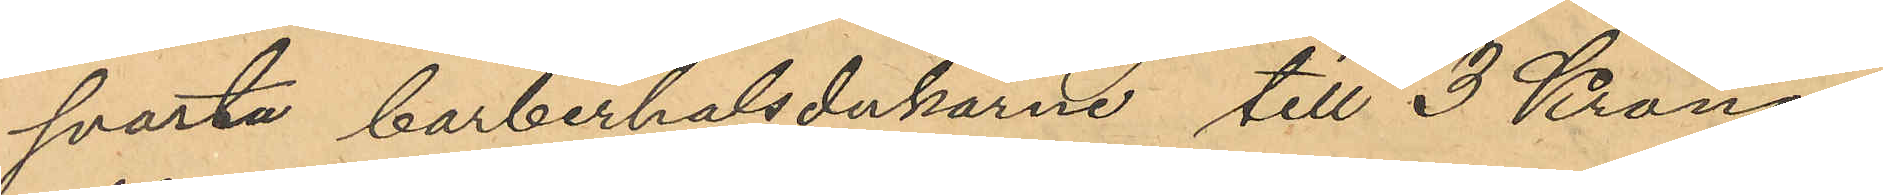svarta barberhalsdukarne till 3 Kronor
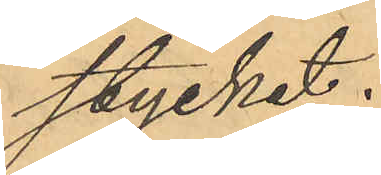stycket.
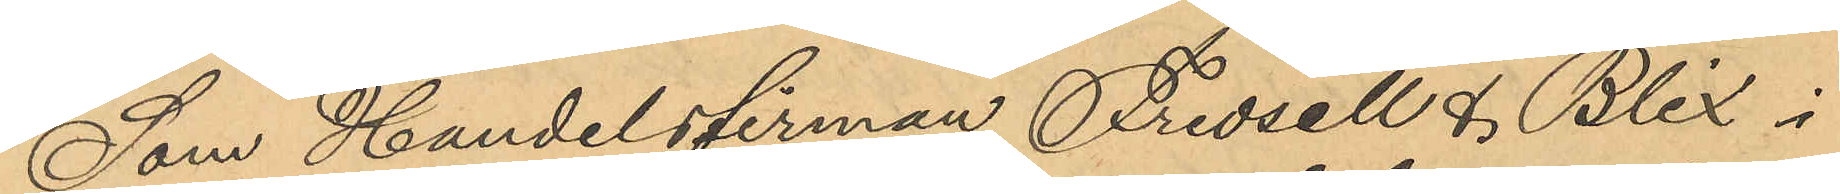Som Handelsfirman Fredsell & Blix i
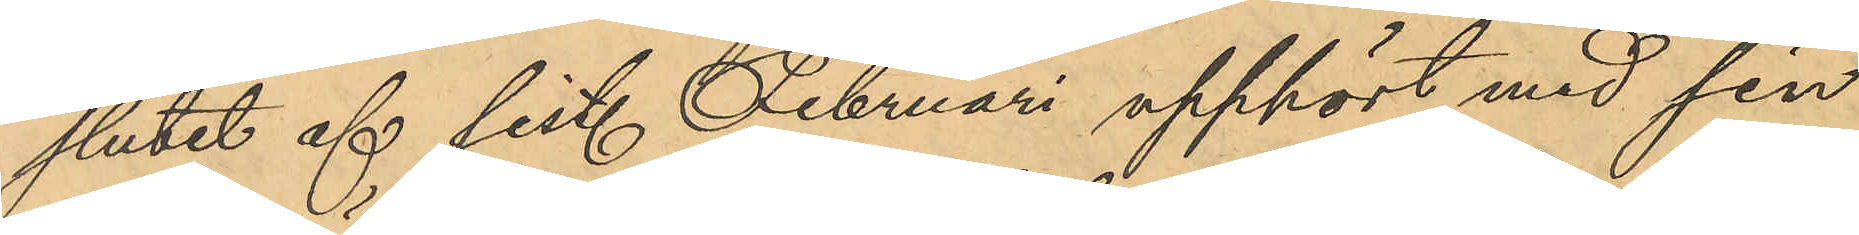slutet af sist. Februari upphört med sin
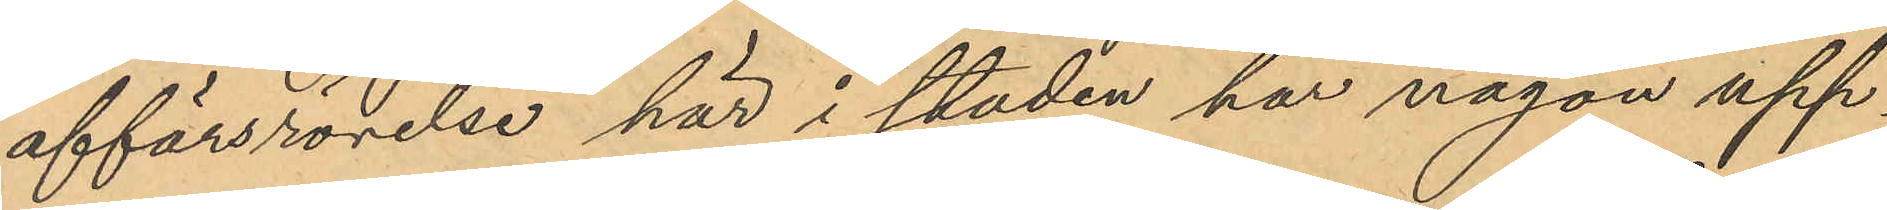affärsrörelse här i staden har någon upp¬
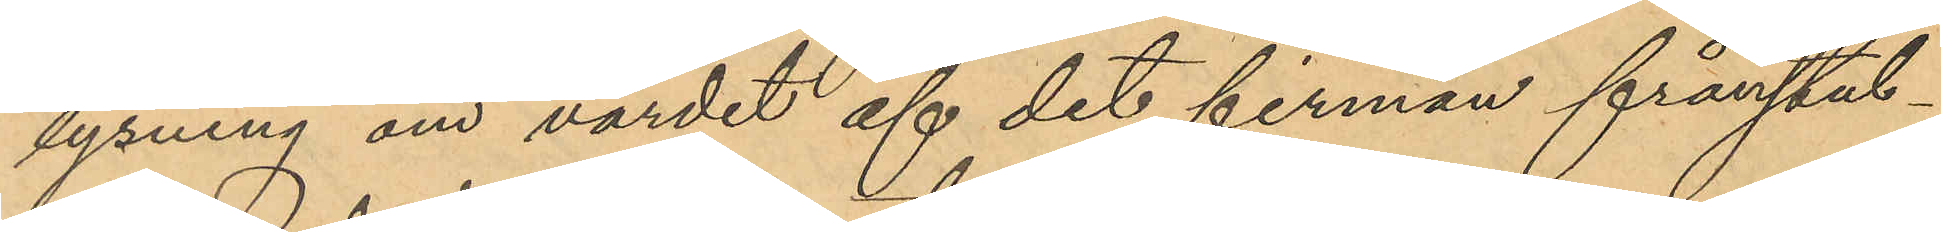lysning om värdet af det firman frånstul¬
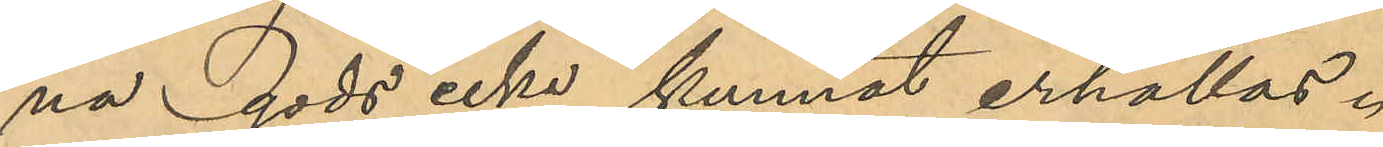na gods icke kunnat erhållas.
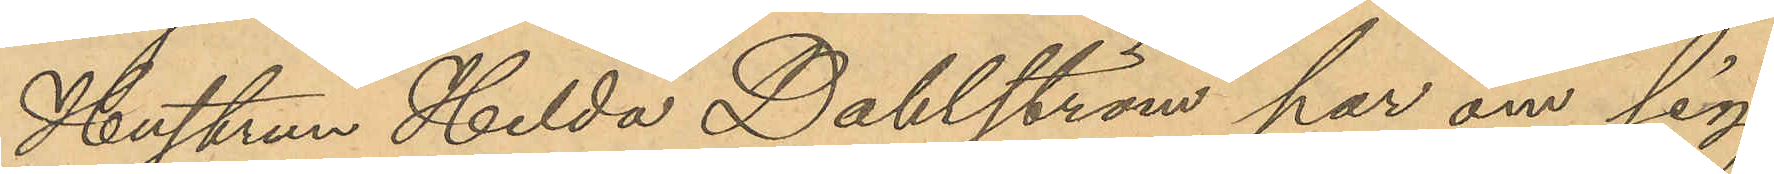Hustrun Hilda Dahlström har om sig
